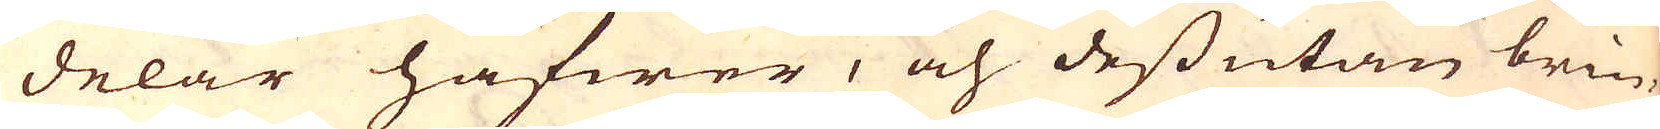delar hafwer, och dessutan brin-
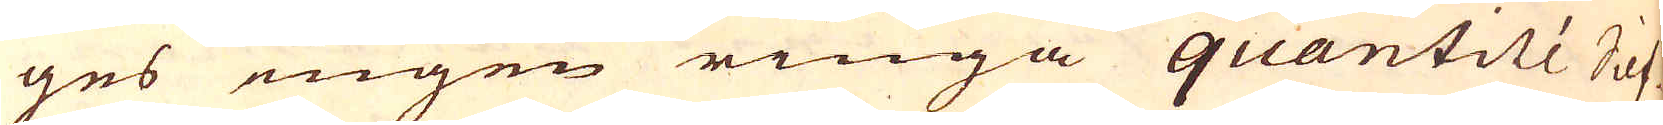ges ingen ringa quantité Silf-
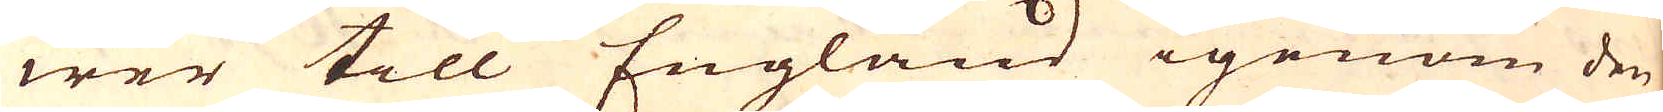wer till England igenom den
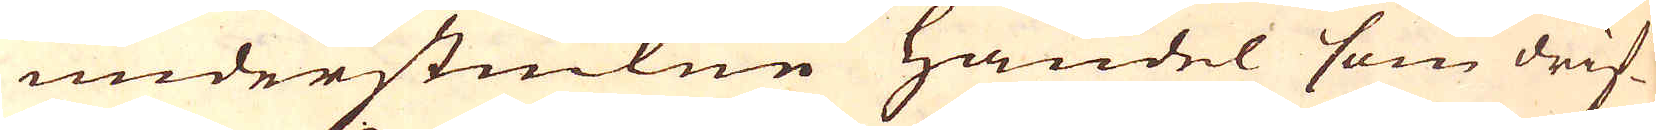understuckne handel som drif-
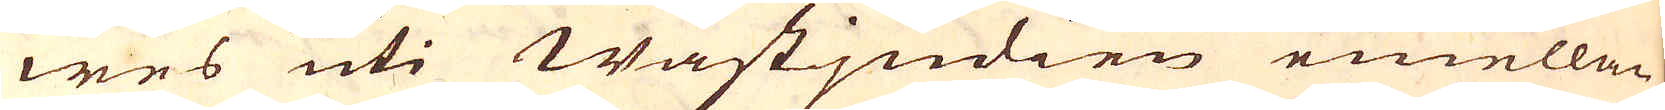wes uti Wästjndien emellan
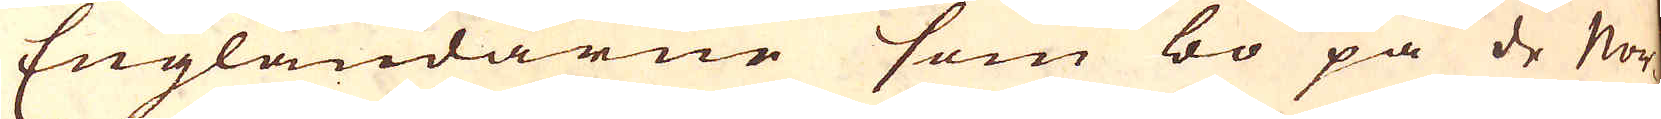Engländarne som bo på de Nor-
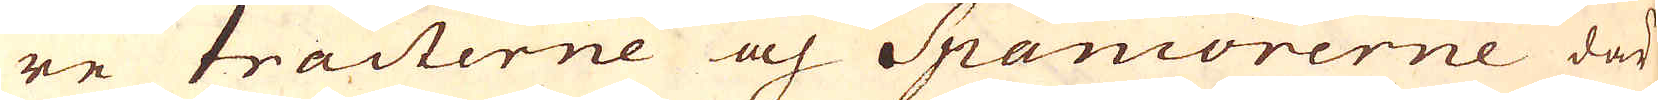re tracterne och Spaniorerne där
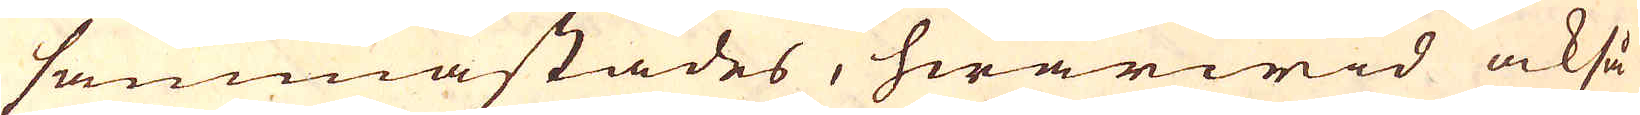sammastädes, hwarwid också
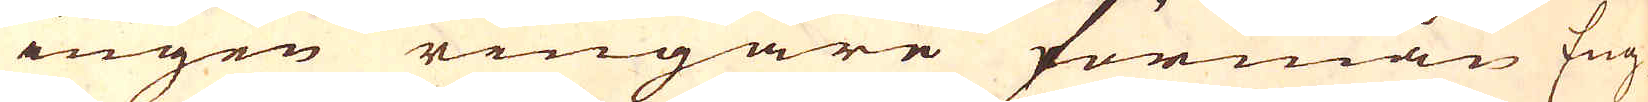ingen ringare förmån Eng-
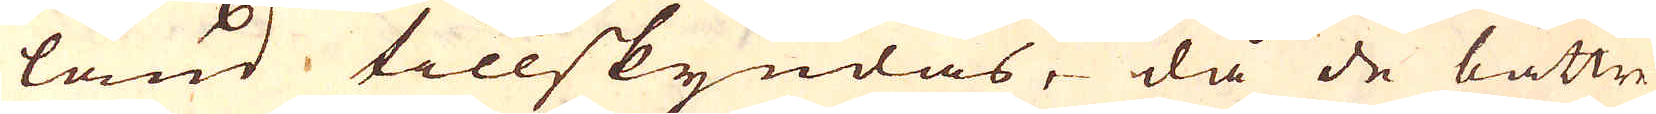land tillskyndas, då de bättre
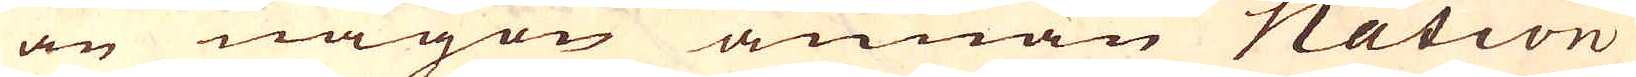än någon annan Nation
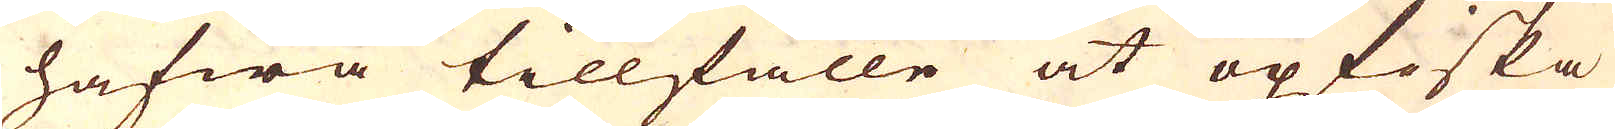hafwa tillfälle at opfiska
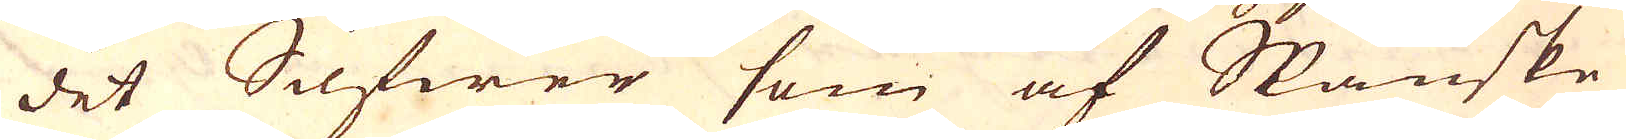det Silfwer som af Spanske
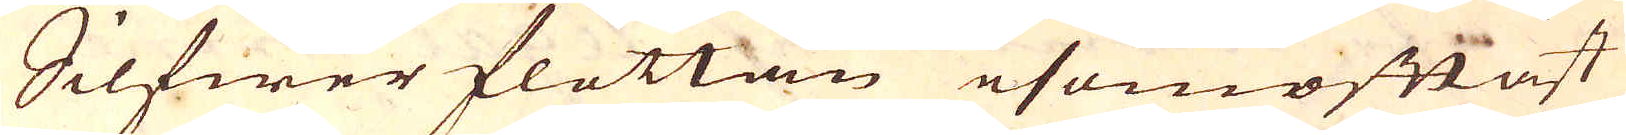Silfwer flottan esomoftast
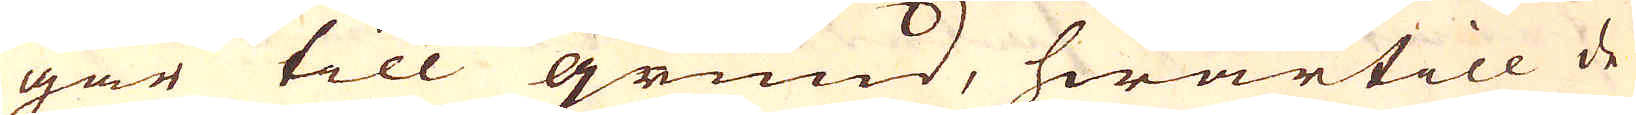går till grund, hwartill de
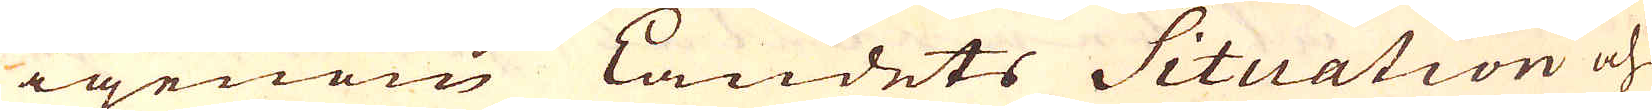igenom Landets Situation och
